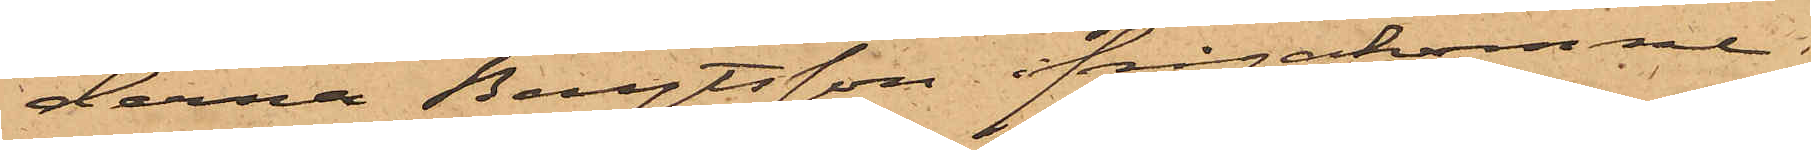derna Bengtsson ifrågakomne
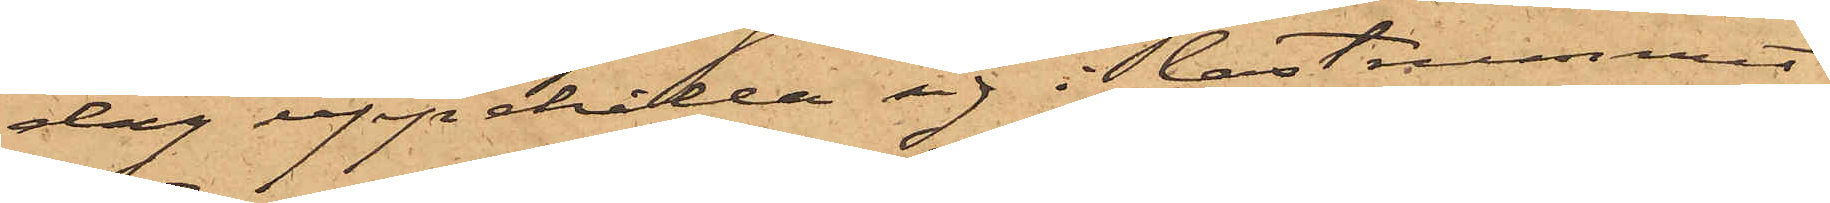dag uppehålla sig i lastrummet
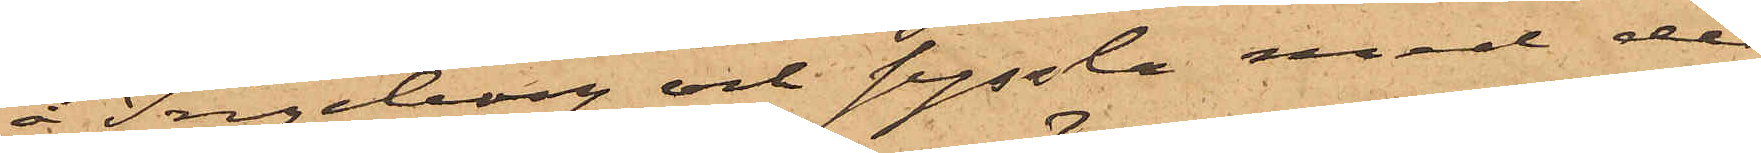å Ingeborg och syssla med de
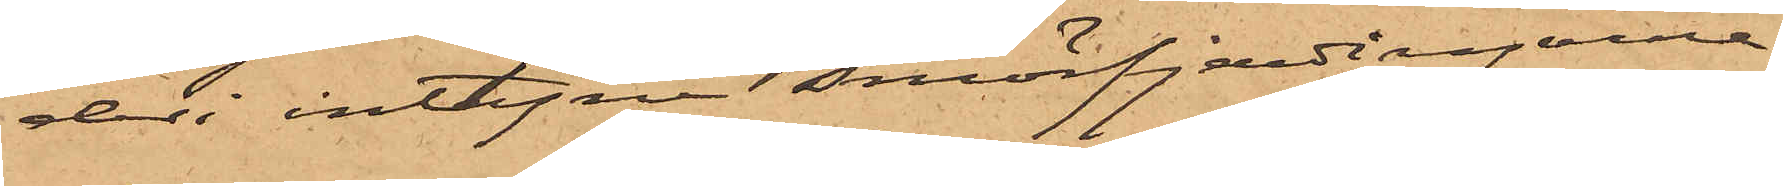deri intagne smörfjerdingarne,
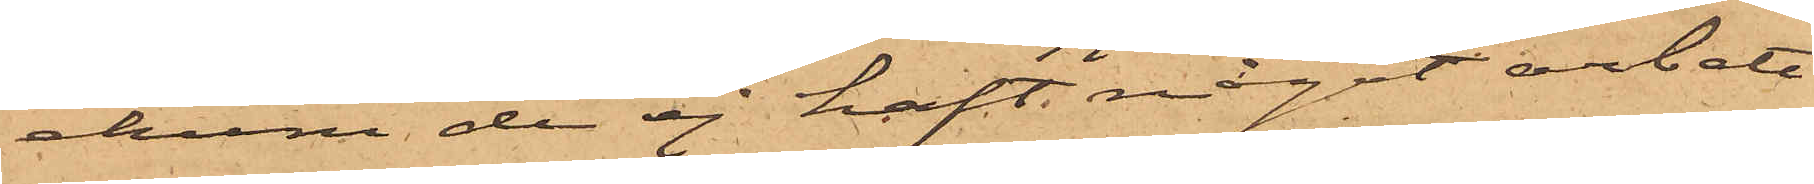ehuru de ej haft något arbete
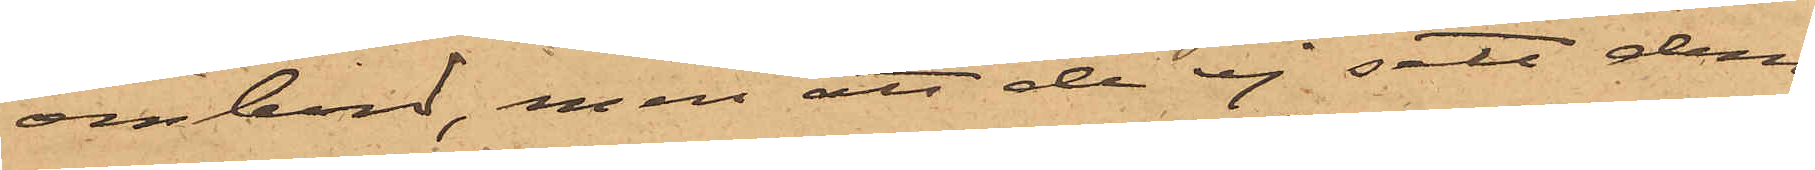ombord, men att de ej sett dem
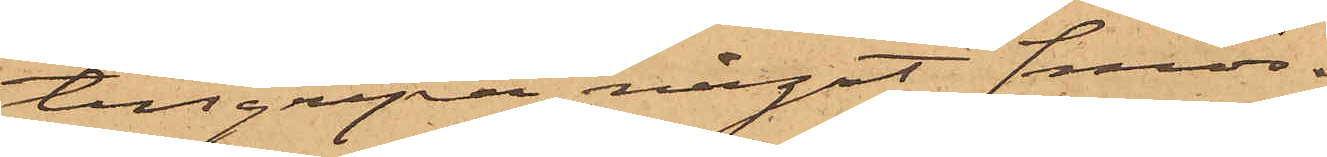tillgripa något smör.
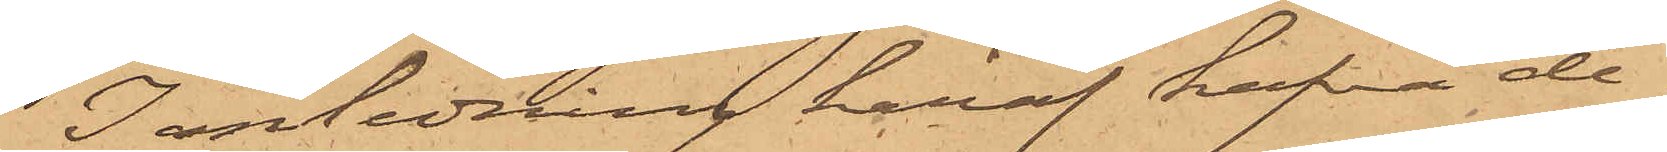I anledning häraf hafva de¬
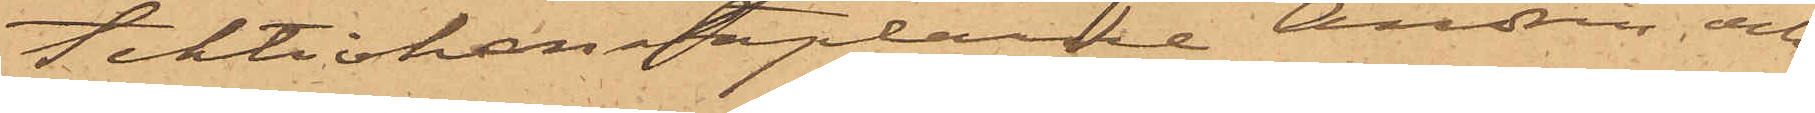tektivkonstaplarne Andrén och
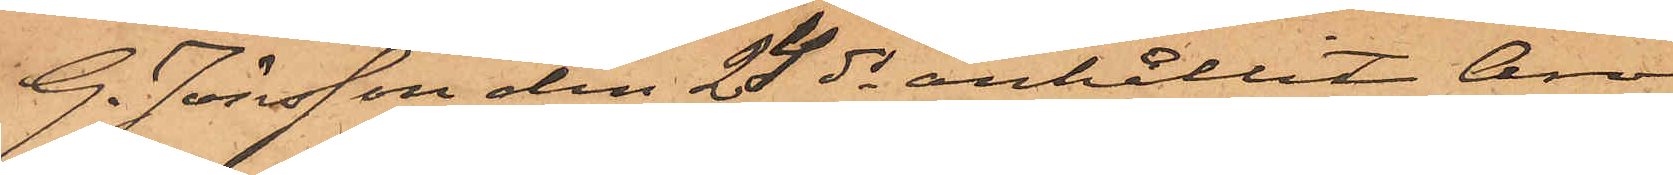G. Jönsson den 24 ds anhållit Aron
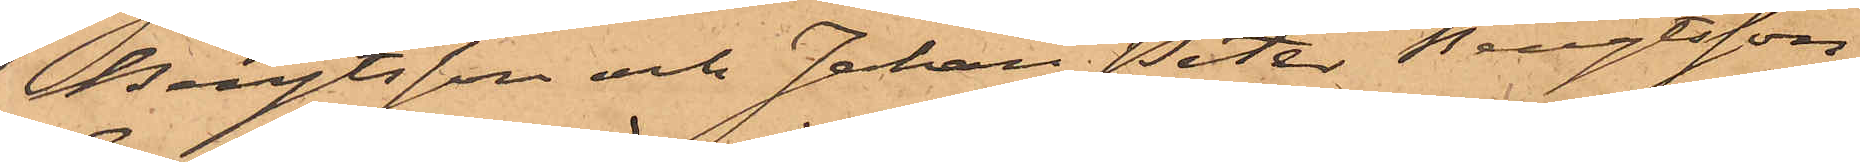Bengtsson och Johan Peter Bengtsson,
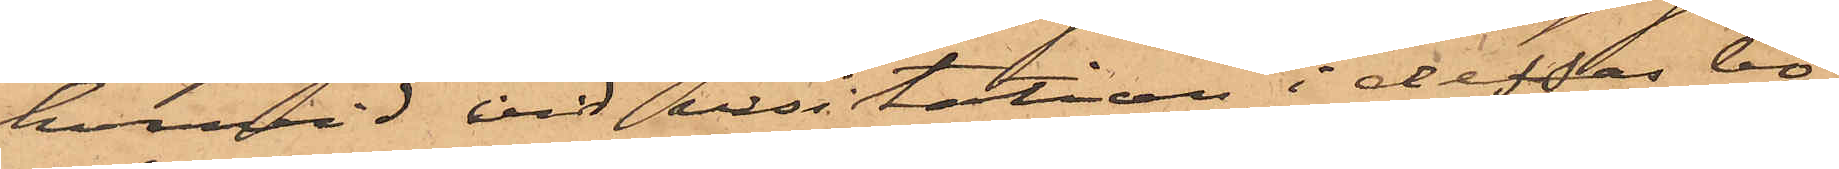hvarvid vid visitation i dessas bo¬
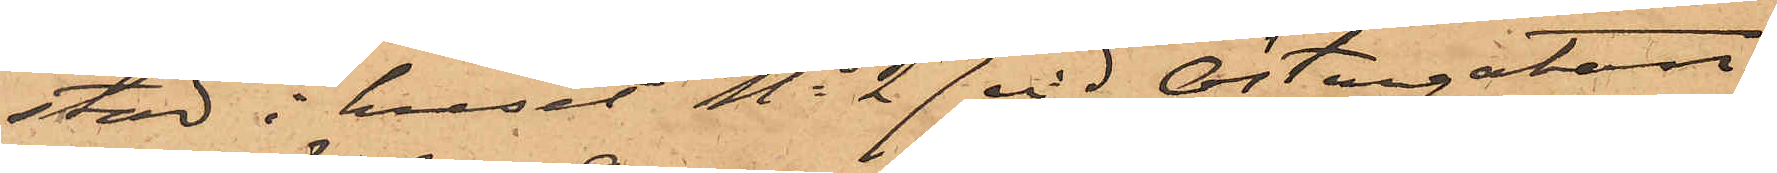stad i huset No 27 vid Östergatan
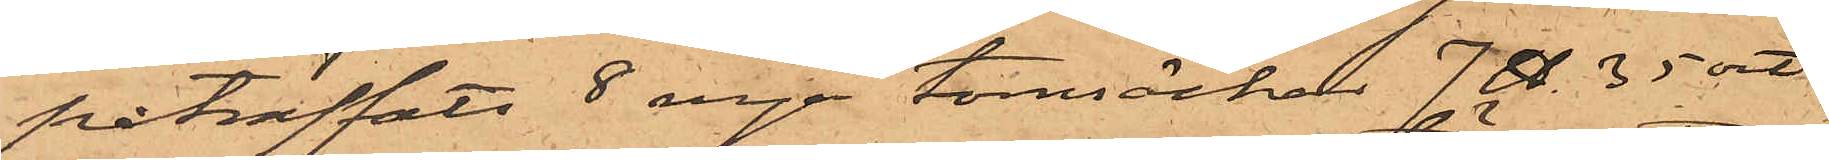påträffats 8 nya tomsäckar 7 ℔. 35 ort
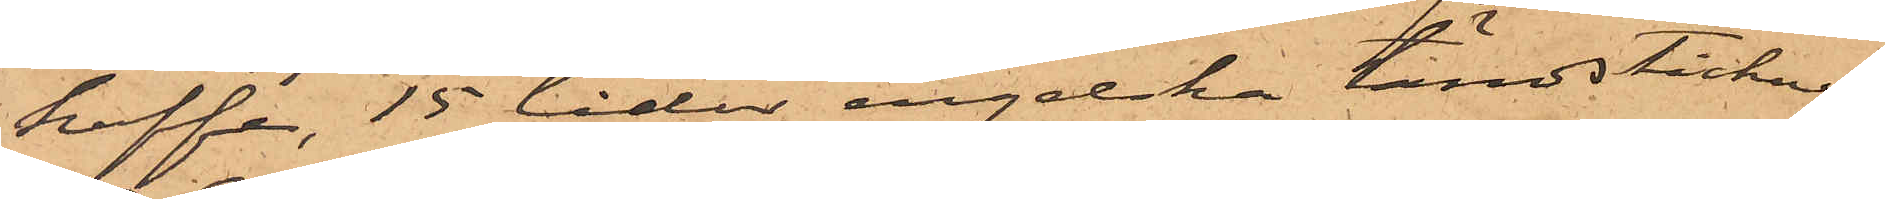kaffe, 15 lådor engelska tändstickor och
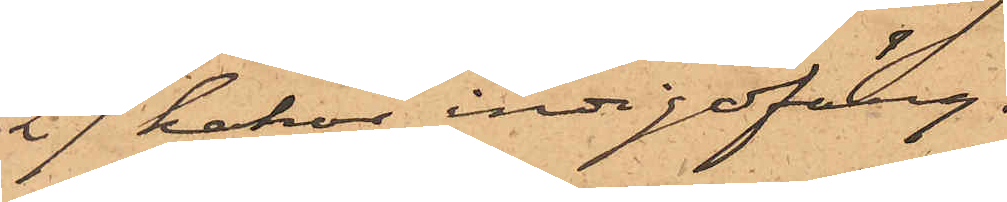27 kakor indigofärg.
